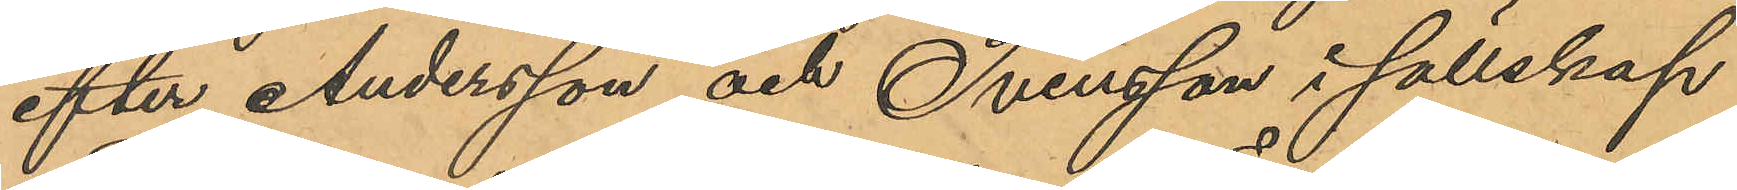efter Andersson och Svensson i sällskap
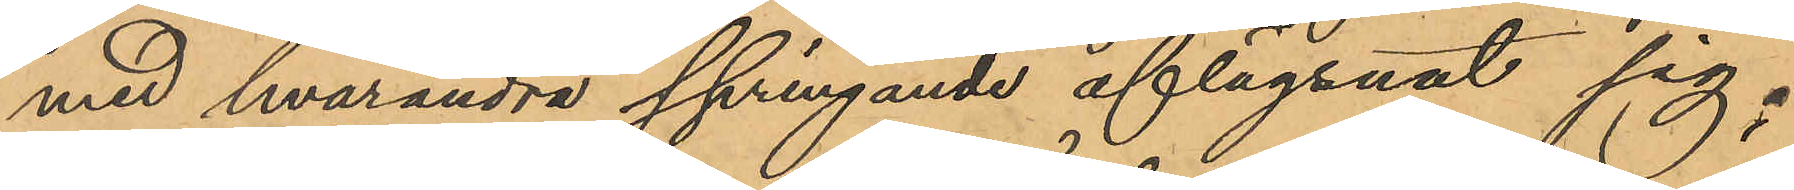med hvarandra springande aflägsnat sig;
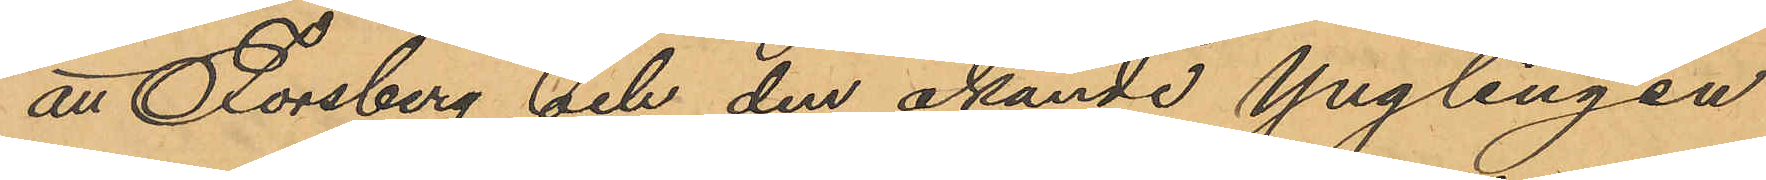att Forsberg och den okände Ynglingen
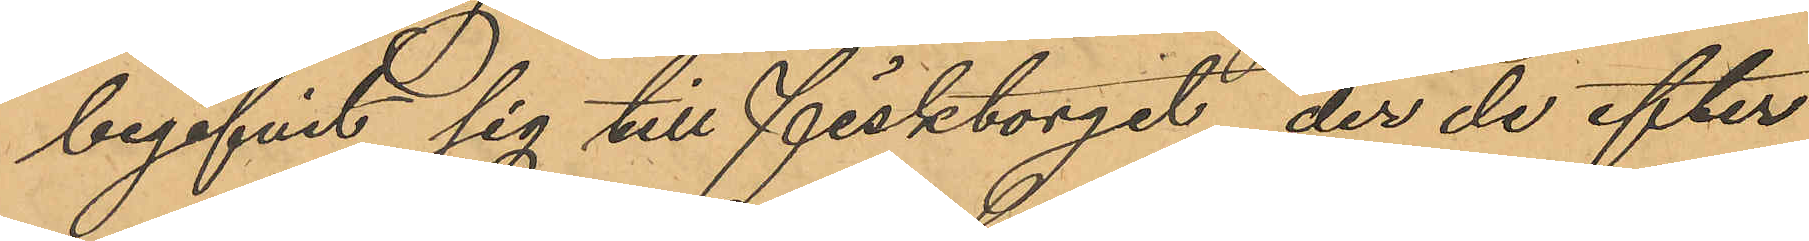begifvit sig till Fisktorget, der de efter
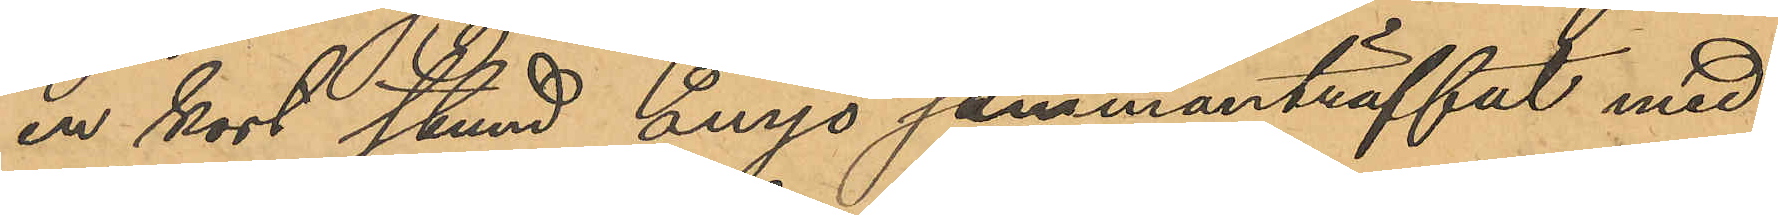en kort stund ånyo sammanträffat med
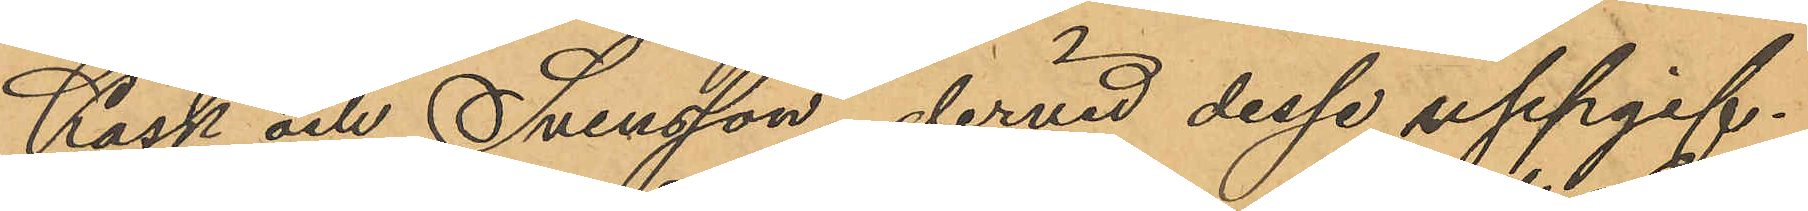Kask och Svensson, dervid desse uppgif¬
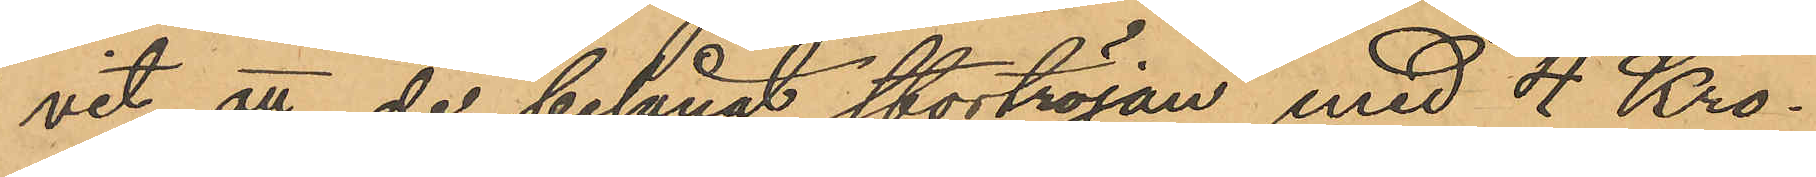vit att de belånat stortröjan med 4 Kro¬
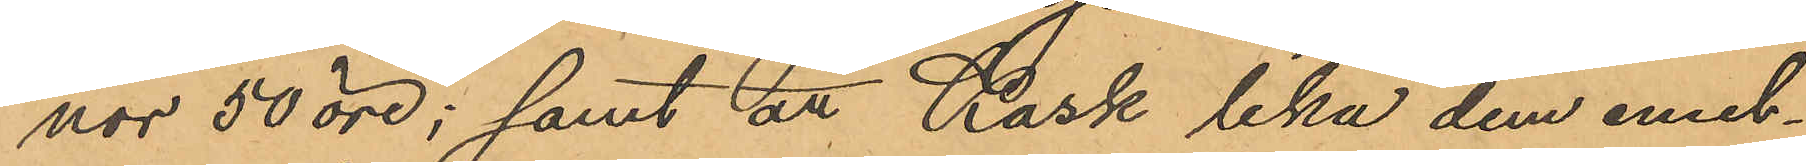nor 50 öre; samt att Kask lika dem emel¬
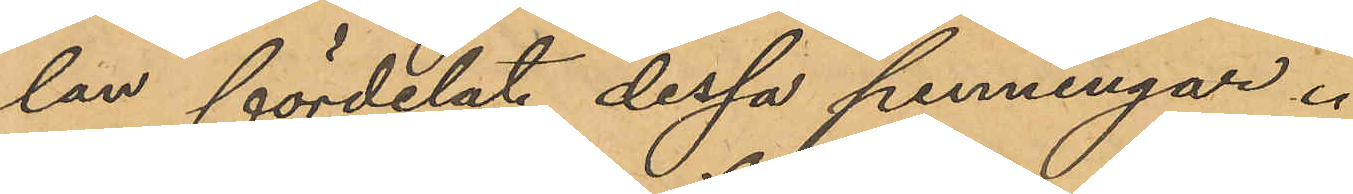lan fördelat dessa penningar.
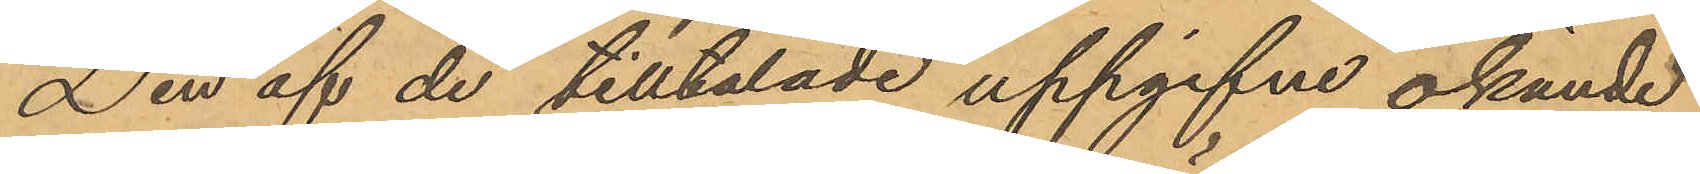Den af de tilltalade uppgifne okände
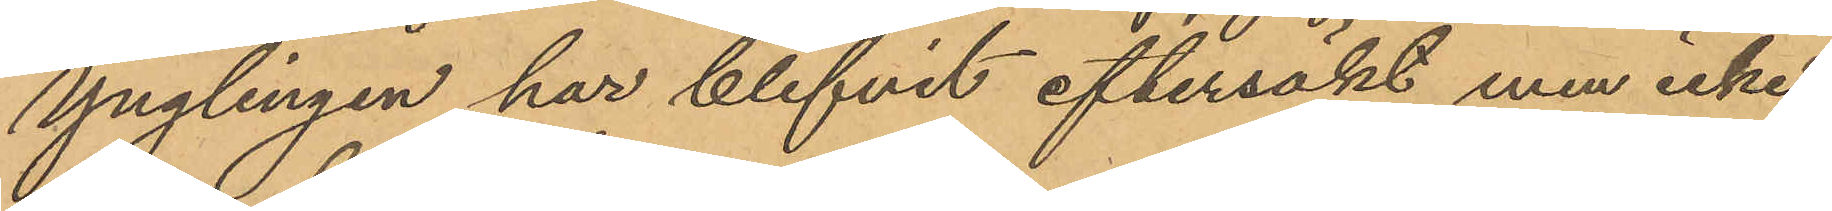Ynglingen har blifvit eftersökt men icke
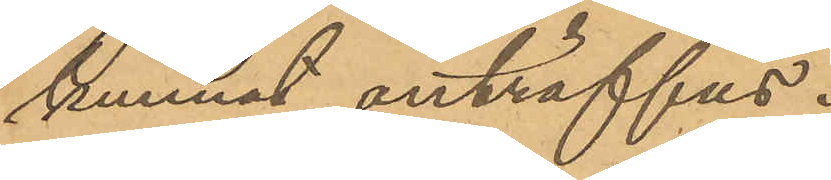kunnat anträffas.
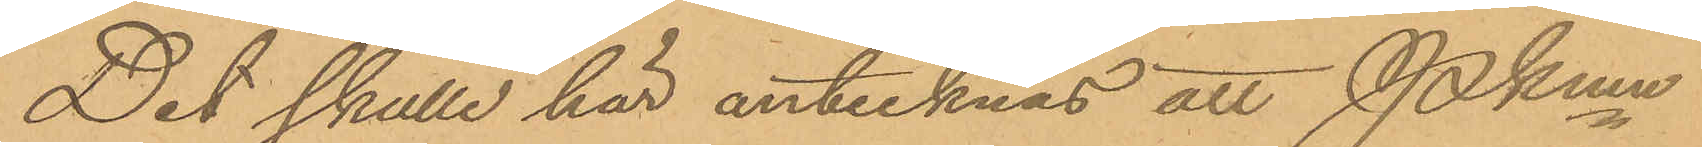Det skulle här antecknas att Pkmn
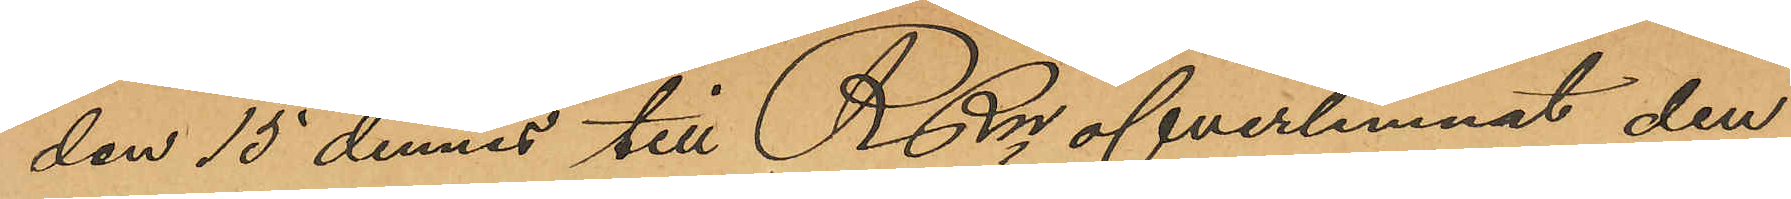den 15 dennes till RRn öfverlemnat den
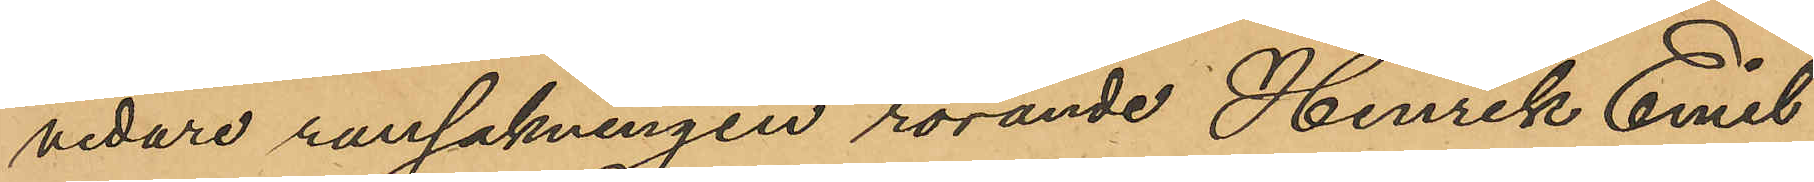vidare ransakningen rörande Henrik Emil
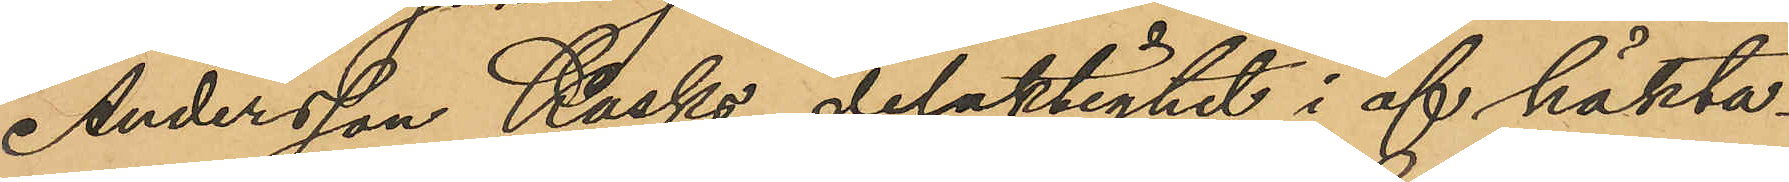Andersson Kasks delaktighet i af häkta¬
